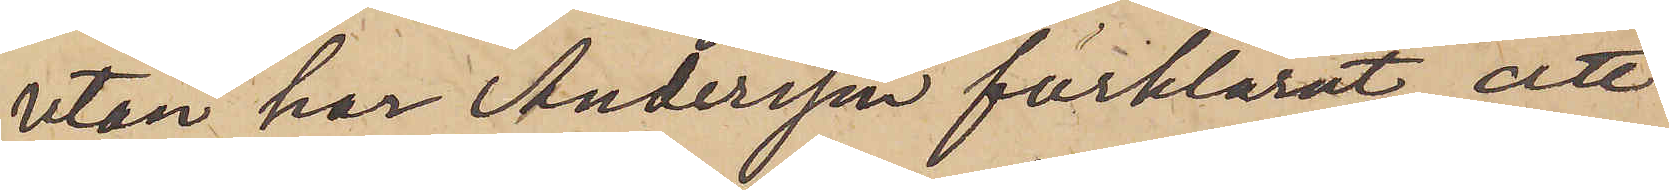utan har Andersson förklarat, att
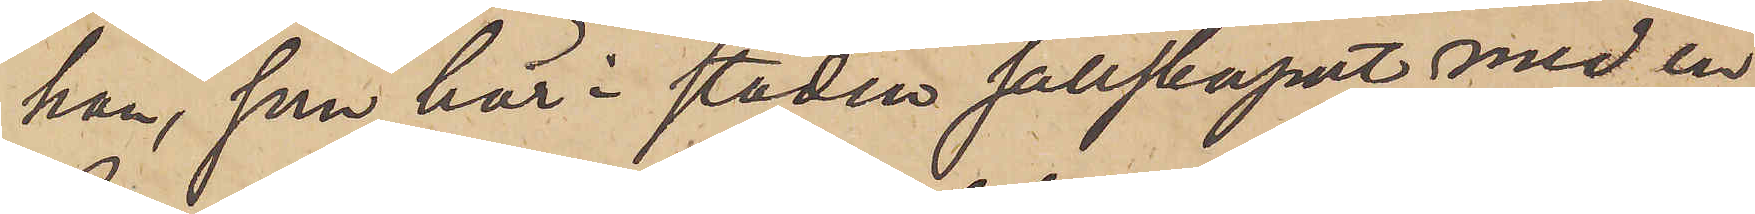han, som här i staden sällskapat med en
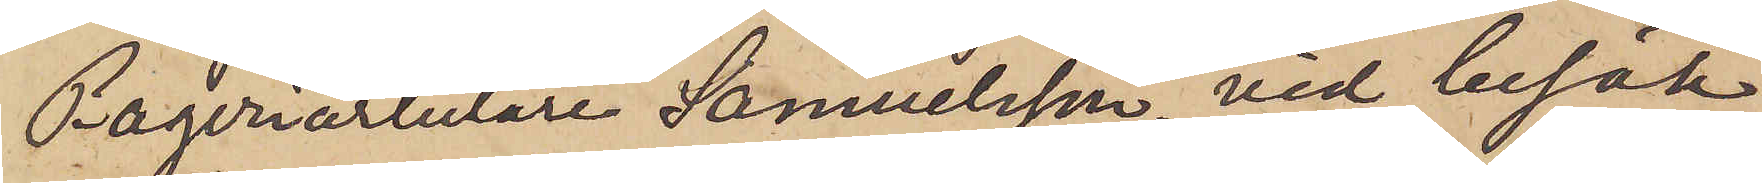Bageriarbetare Samuelsson, vid besök
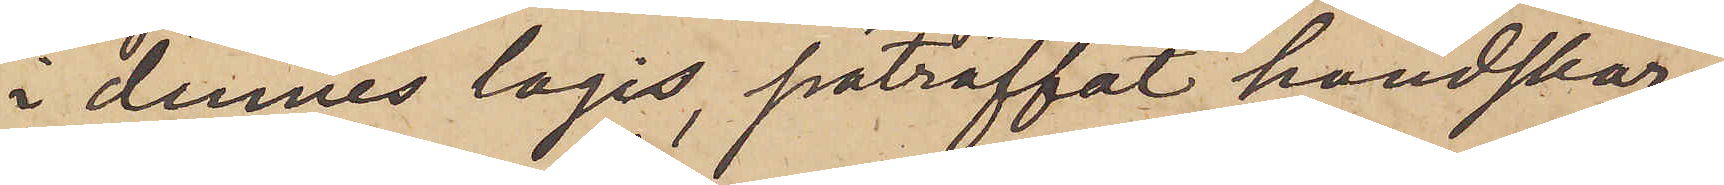i dennes logis, påträffat handskar¬
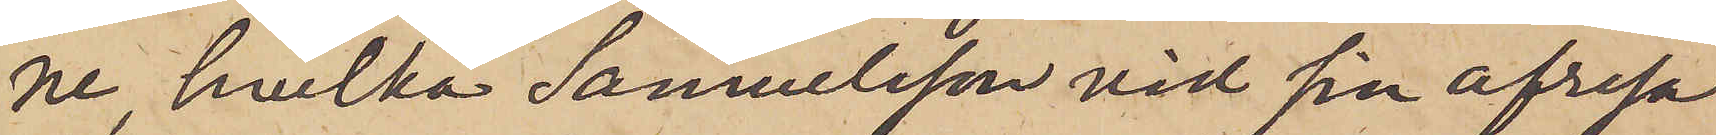ne, hvilka Samuelsson vid sin afresa
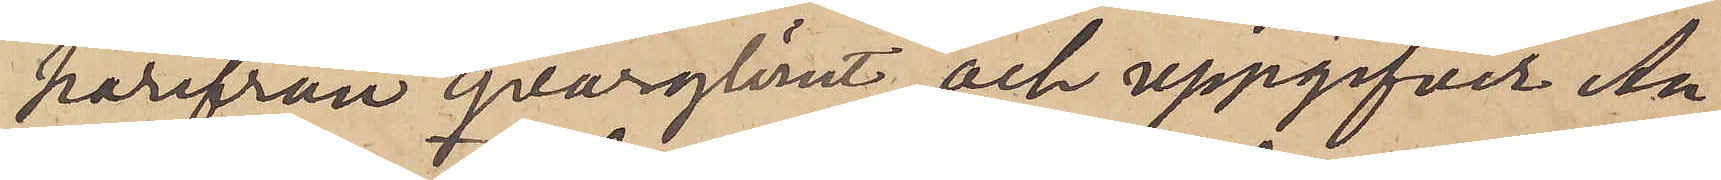härifrån qvarglömt; och uppgifver An¬
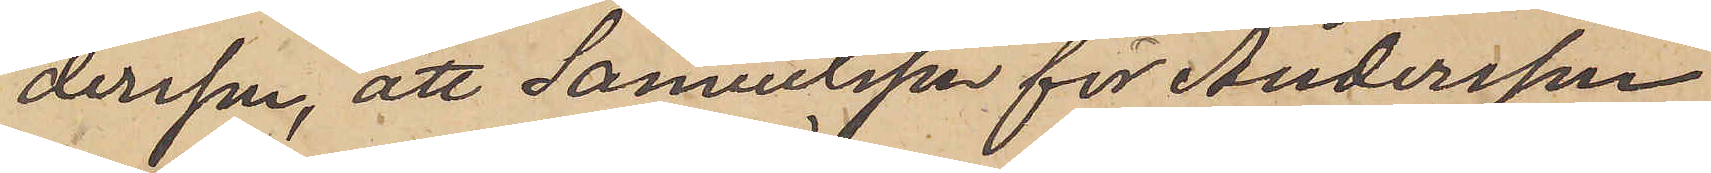dersson, att Samuelsson för Andersson
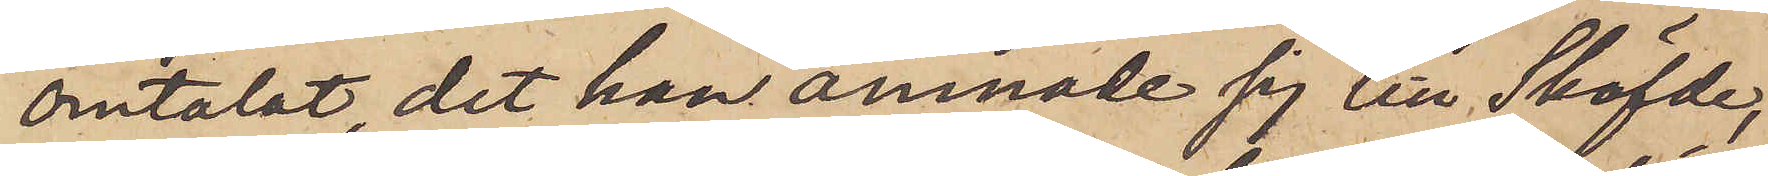omtalat, det han ämnade sig till Sköfde,
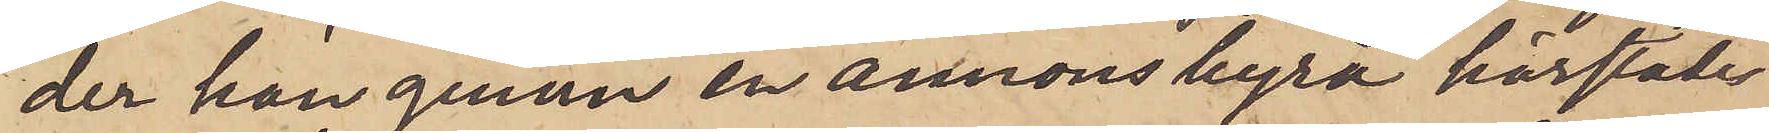der han genom en annonsbyrå härstädes
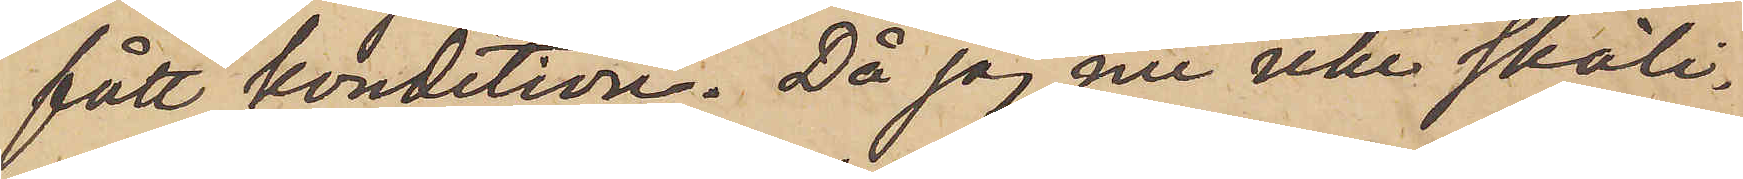fått kondition. Då jag nu icke skäli¬
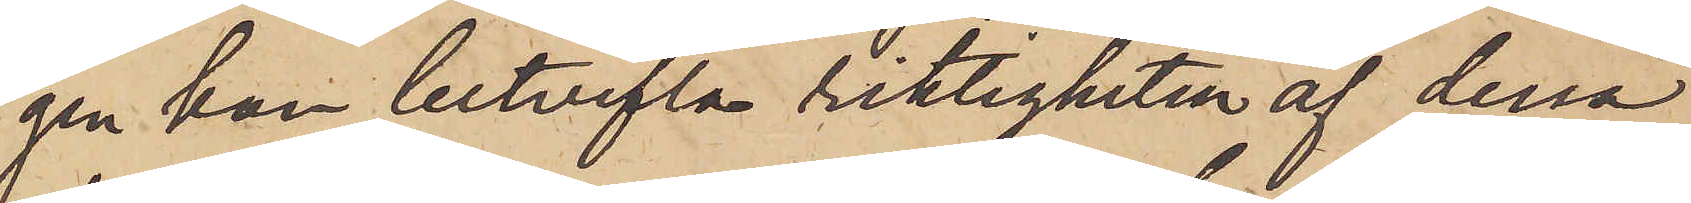gen kan betvifla riktigheten af dessa
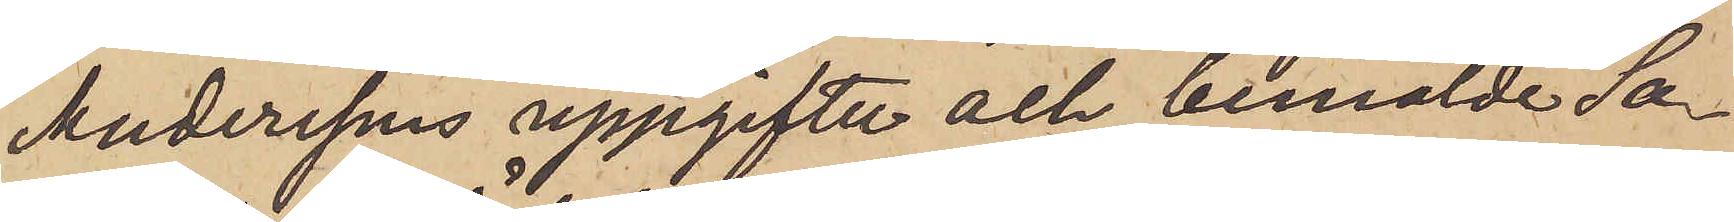Anderssons uppgifter och bemälde Sa¬
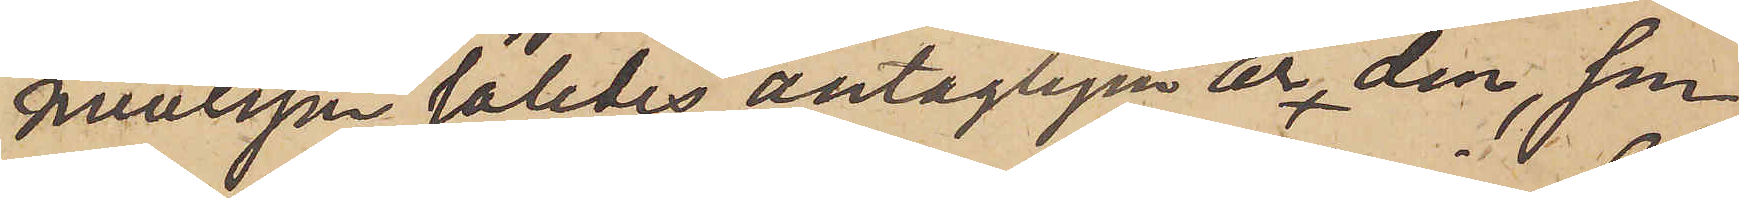muelsson således antagligen är den, som
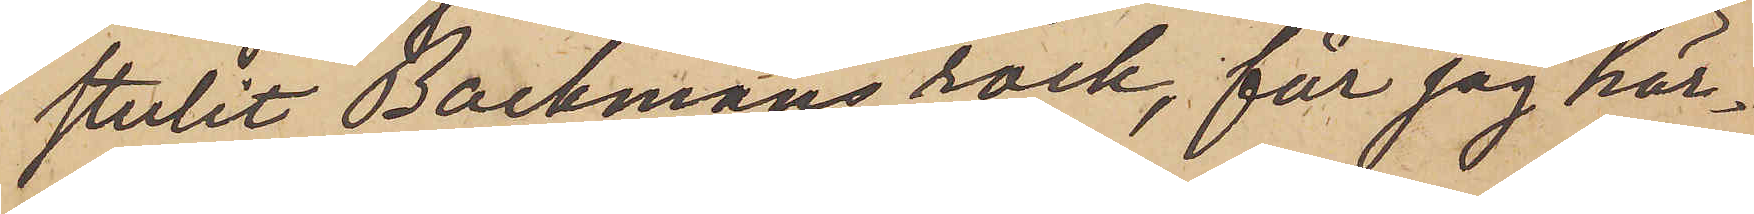stulit Backmans rock, får jag här¬
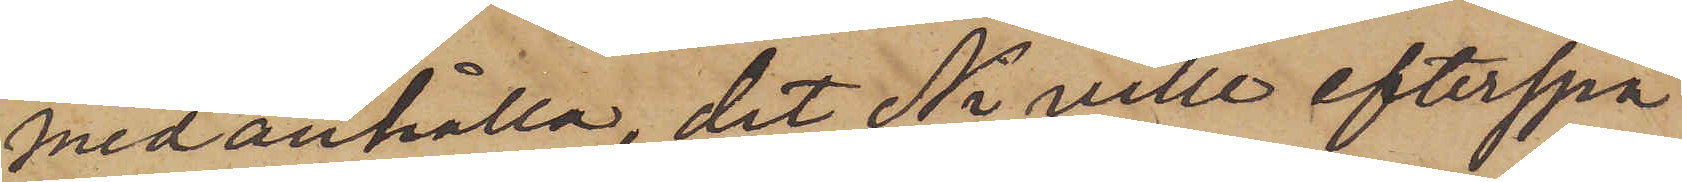med anhålla, det Ni ville efterspa¬
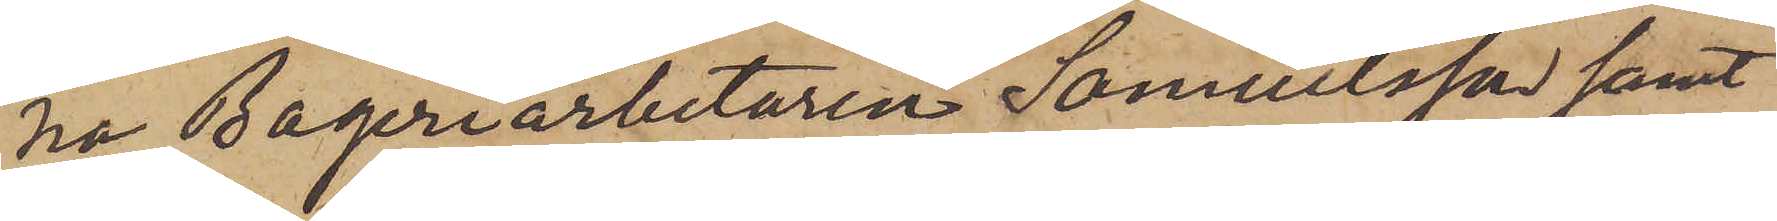na Bageriarbetaren Samuelsson samt
